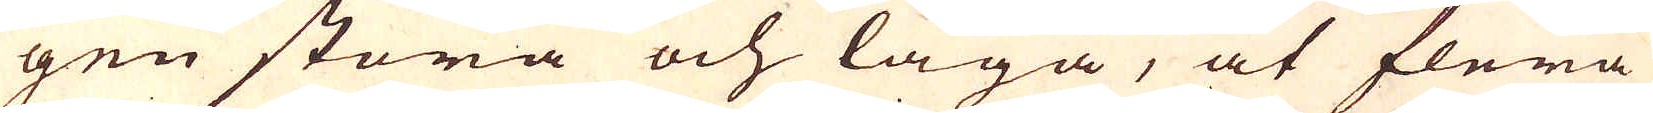gen stora och låga, at flera
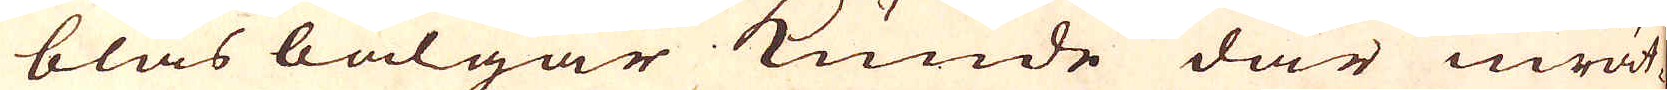blås bälgar kunde där inrät-
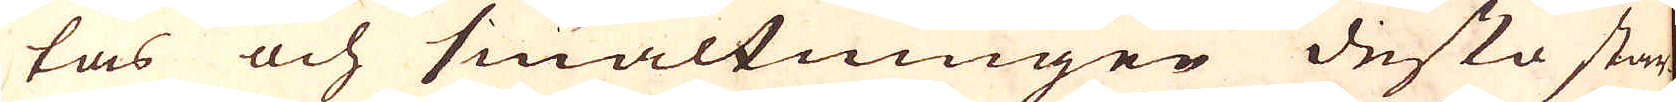tas och smältningen desto star-
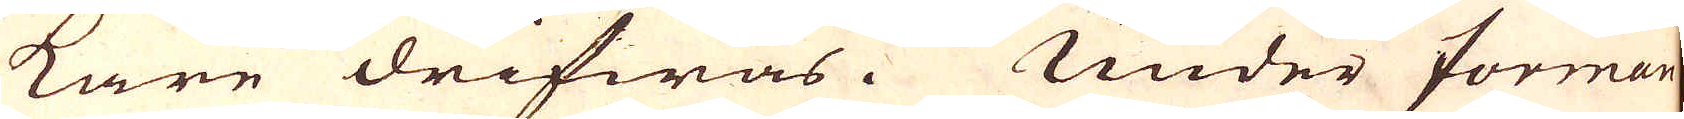kare drifwas. Under forman
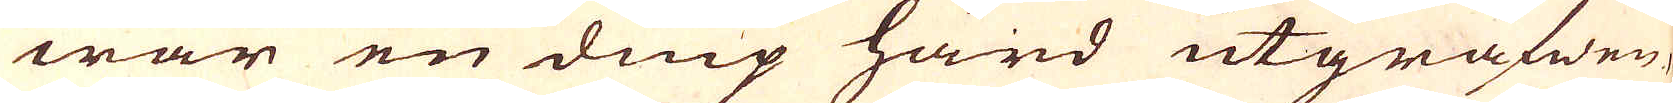war en diup härd utgräfwen,
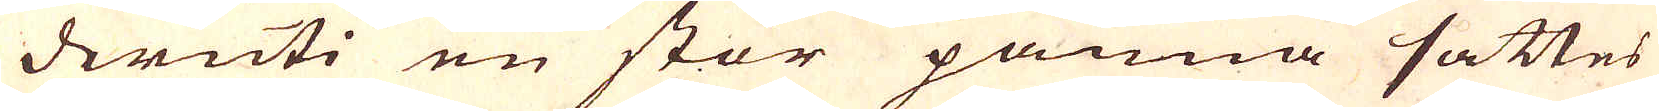deruti en stor pänna sättes
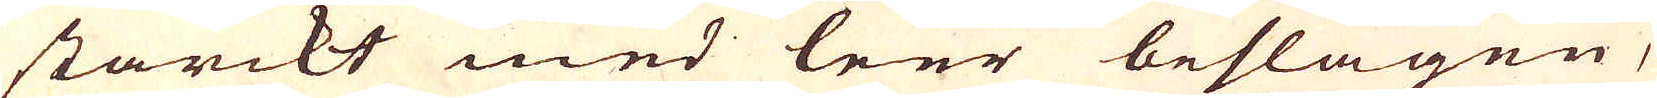starckt med leer beslagen,
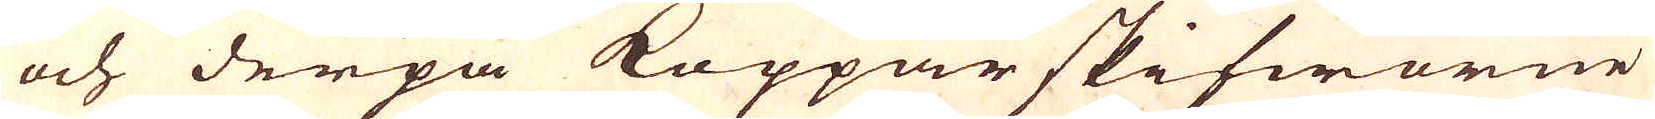och derpå Koppar skifworne
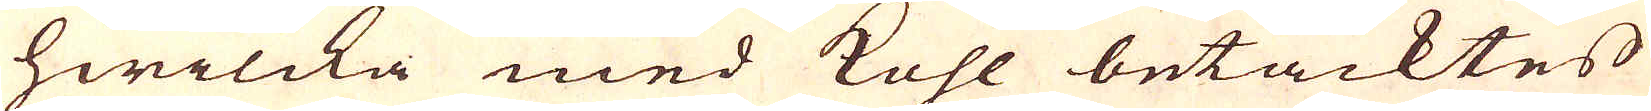hwilcka med kohl betäcktes
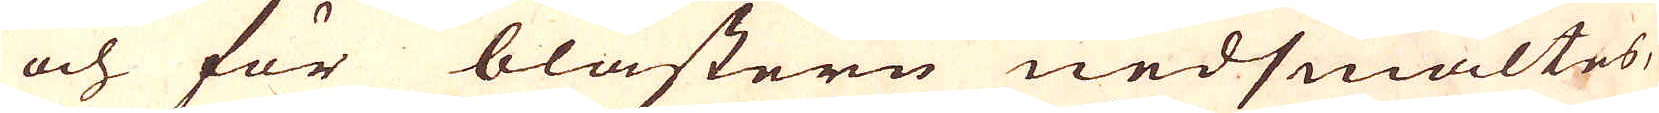och för blästern nedsmältes,
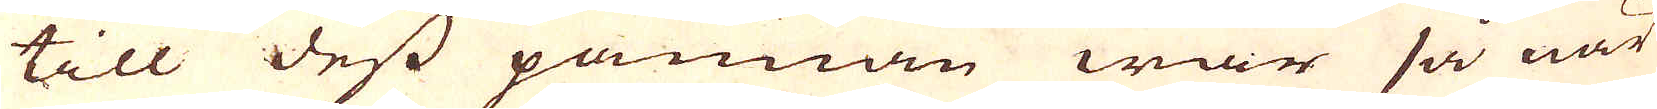till dess pannan war så när
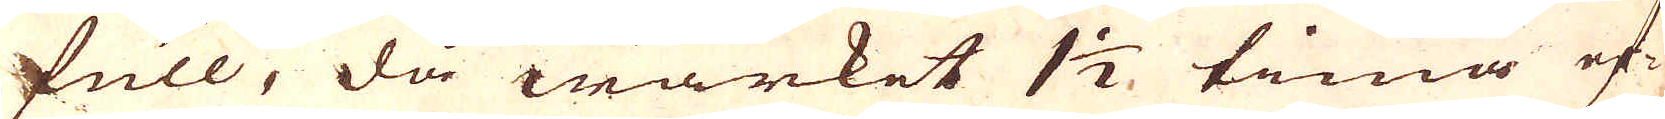full, då wärket 1 1/2 tima ef-
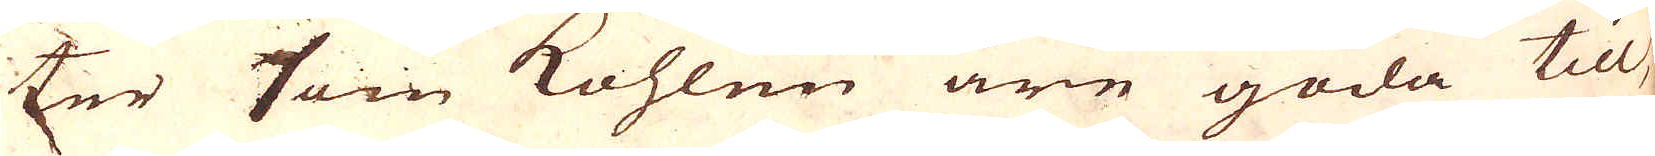ter som kohlen äre goda till,
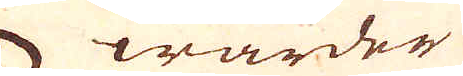warder
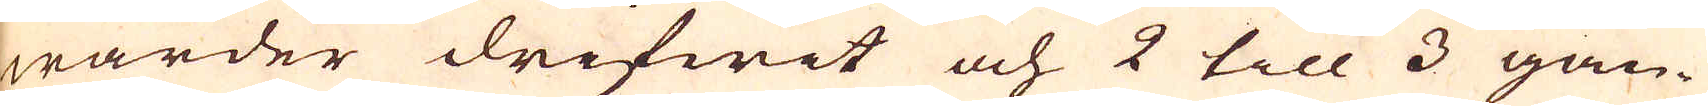warder drifwit och 2 till 3 gån-
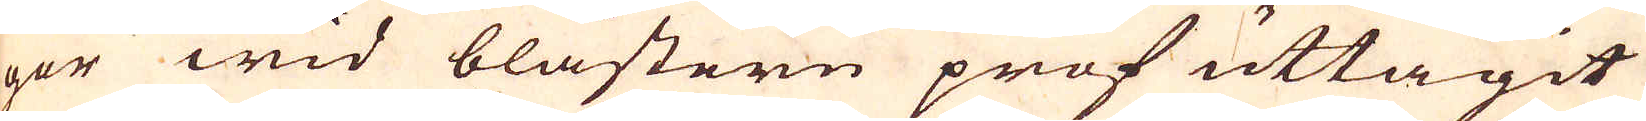ger wid blästern prof uttagit
